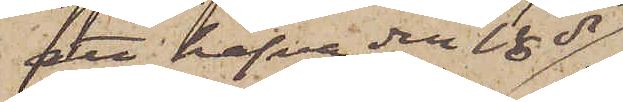att hafva den 18 ds
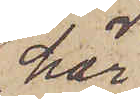här¬
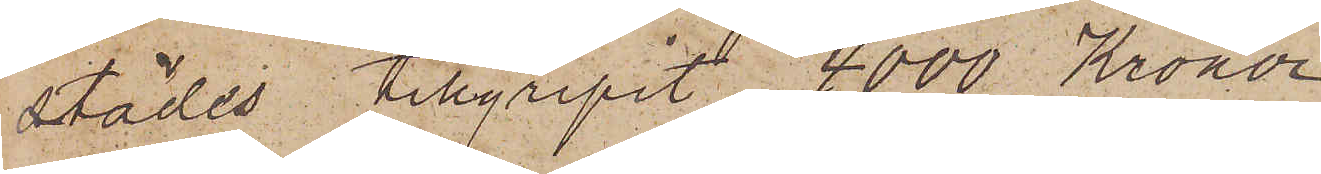städes tillgripit 4000 Kronor.
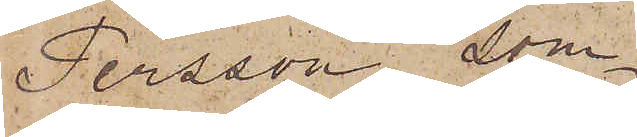Persson, som
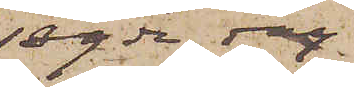sagde dag
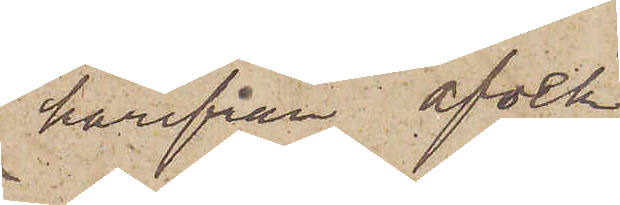härifrån afvek
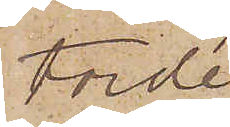torde
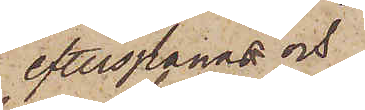efterspanas och
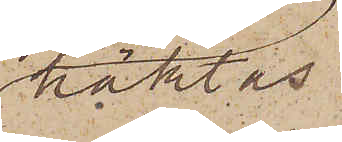häktas.
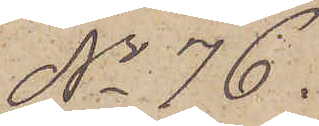No 76. 
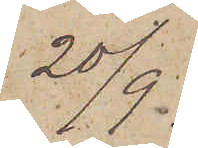20/9.
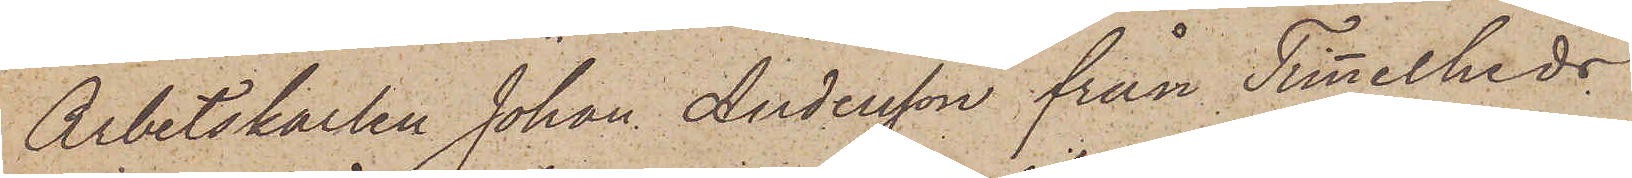Arbetskarlen Johan Andersson från Timmelheds
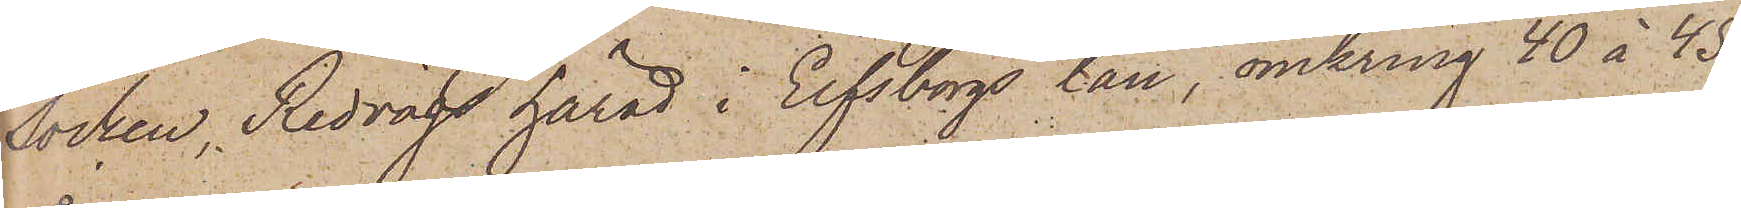Socken, Redvägs härad i Elfsborgs län, omkring 40 à 45
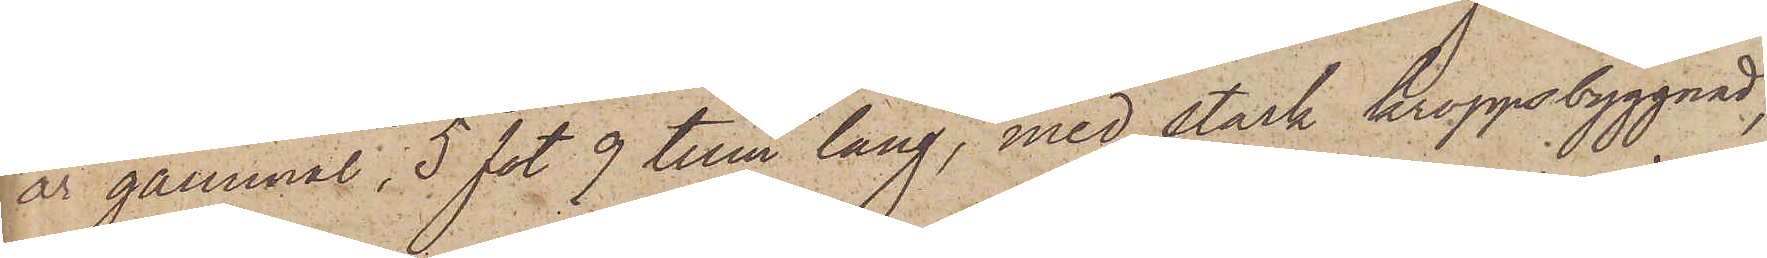år gammal, 5 fot 9 tum lång, med stark kroppsbyggnad,
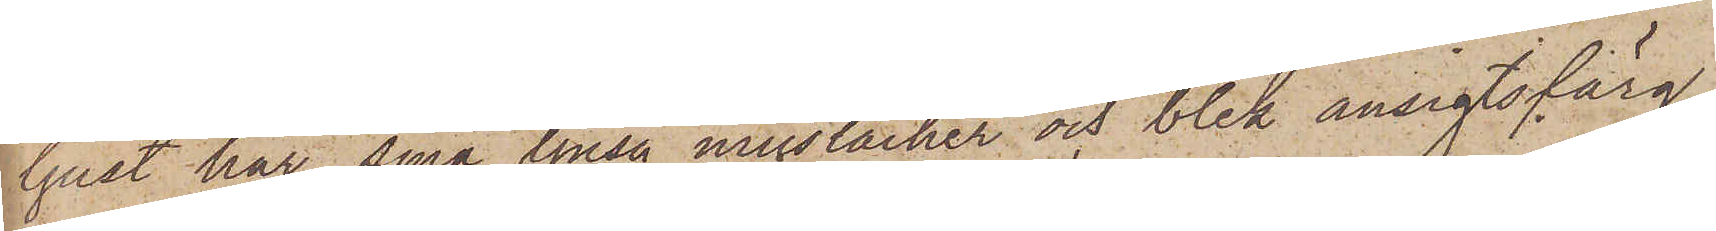ljust hår, små ljusa mustacher och blek ansigtsfärg,
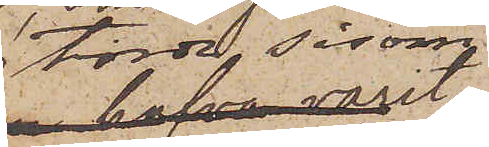torde såsom
